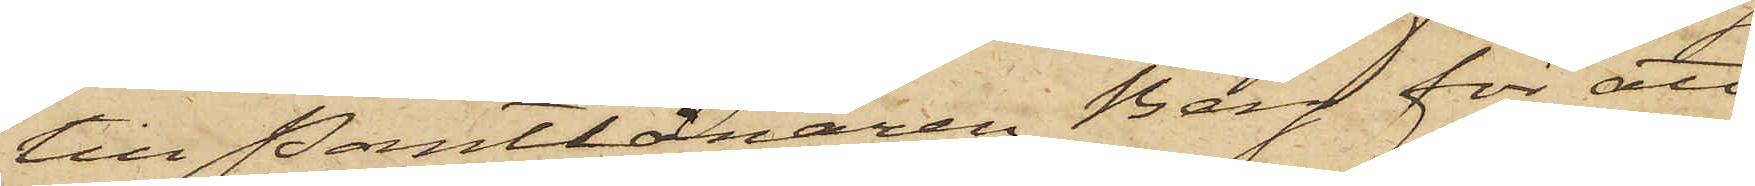till Pantlånaren Berg för att
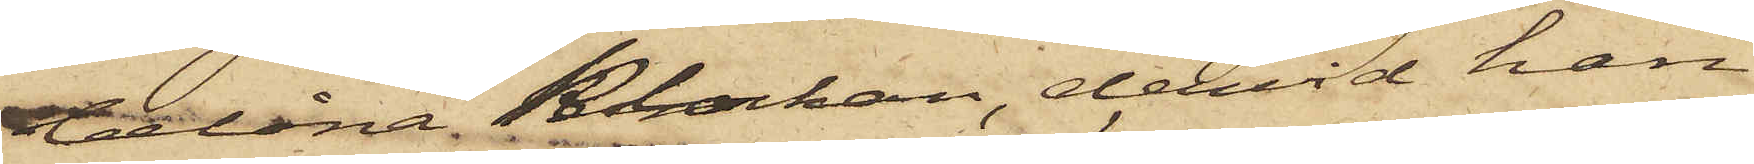belåna Klockan, dervid han
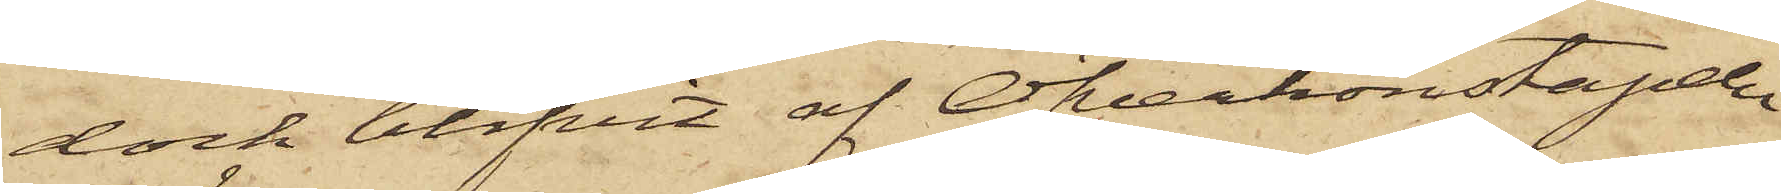dock blifvit af Öfverkonstapeln
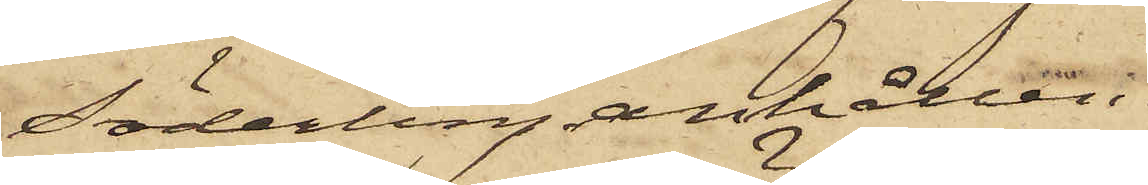Söderling anhållen.
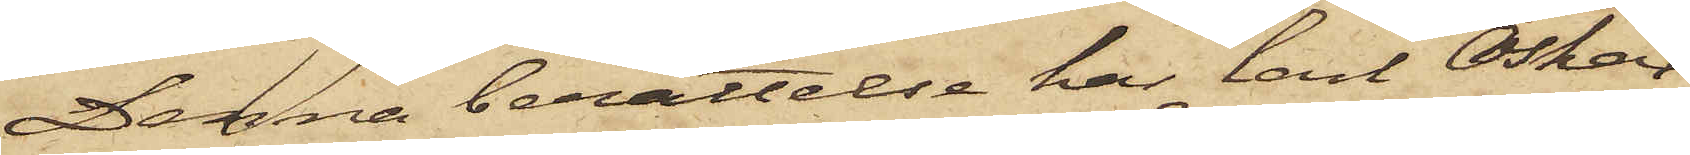Denna berättelse har Carl Oskar
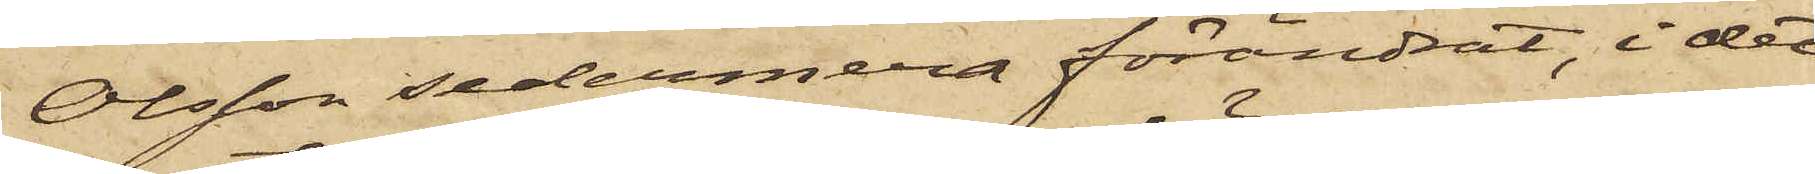Olsson sedermera förändrat, i det
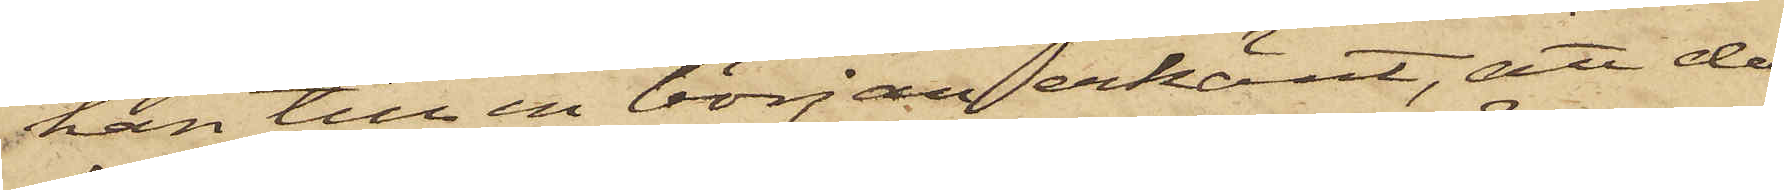han till en början erkänt, att då
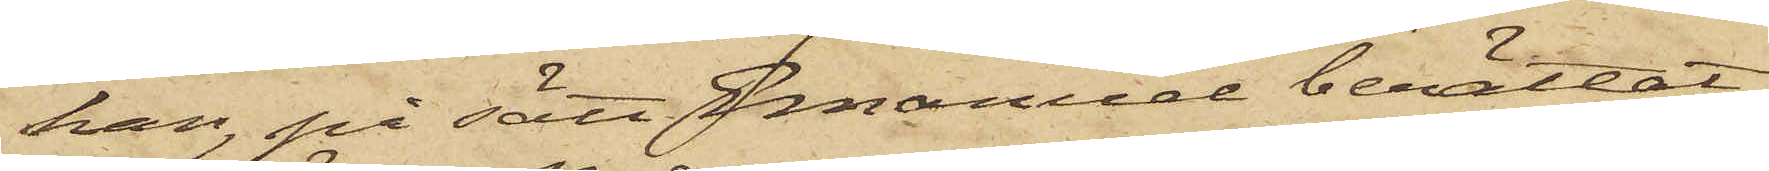han, på sätt Emanuel berättat,
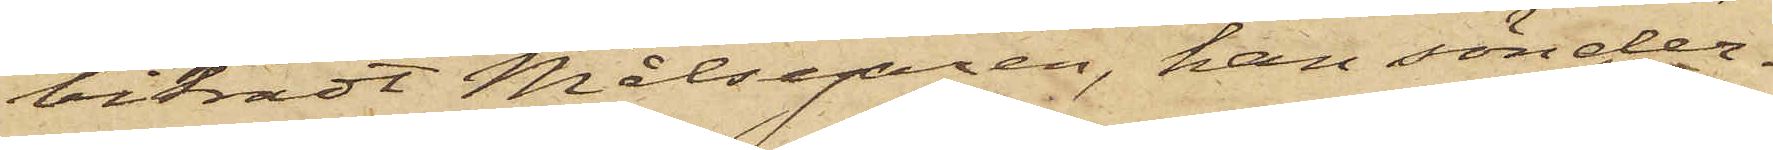biträdt Målsegaren, han sönder¬
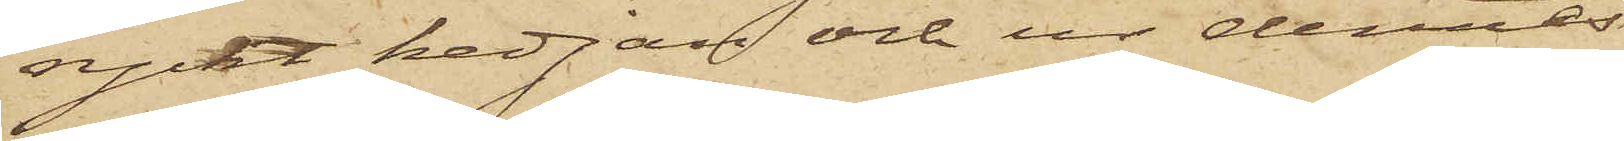ryckt kedjan och ur dennes
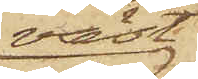väst¬
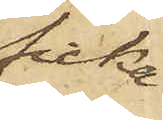ficka
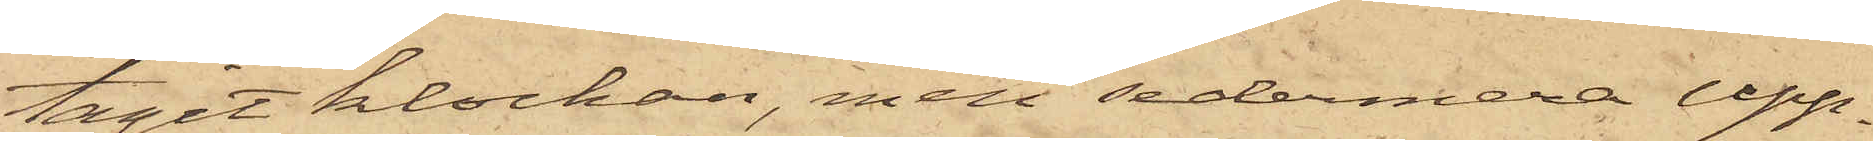tagit klockan, men sedermera upp¬
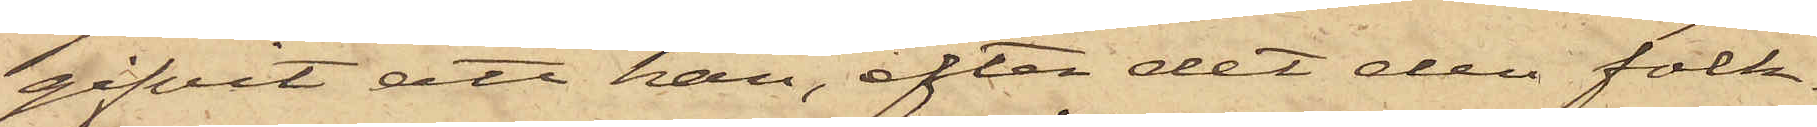gifvit att han, efter det den folk¬
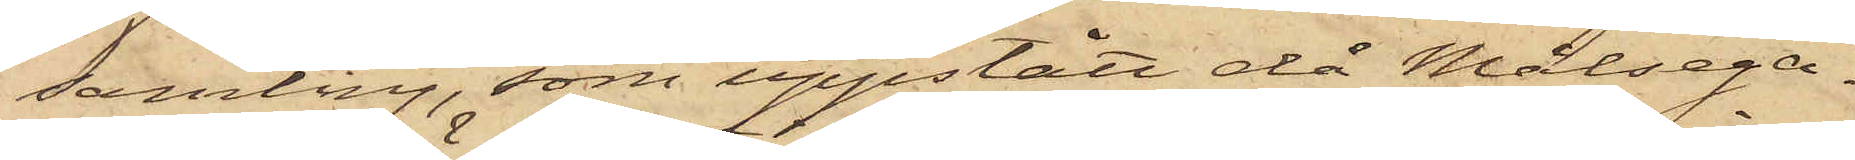samling, som uppstått då Målsega¬
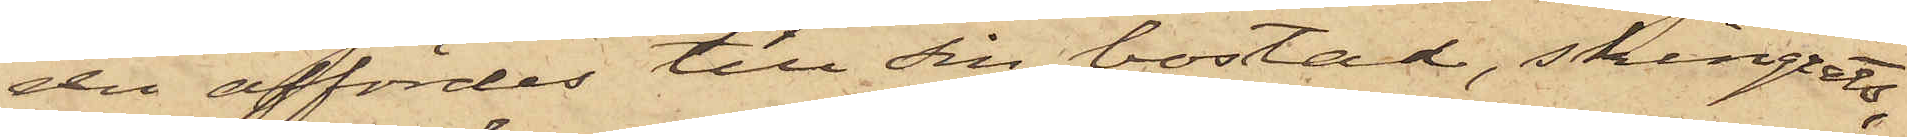de affördes till sin bostad, skingrats,
